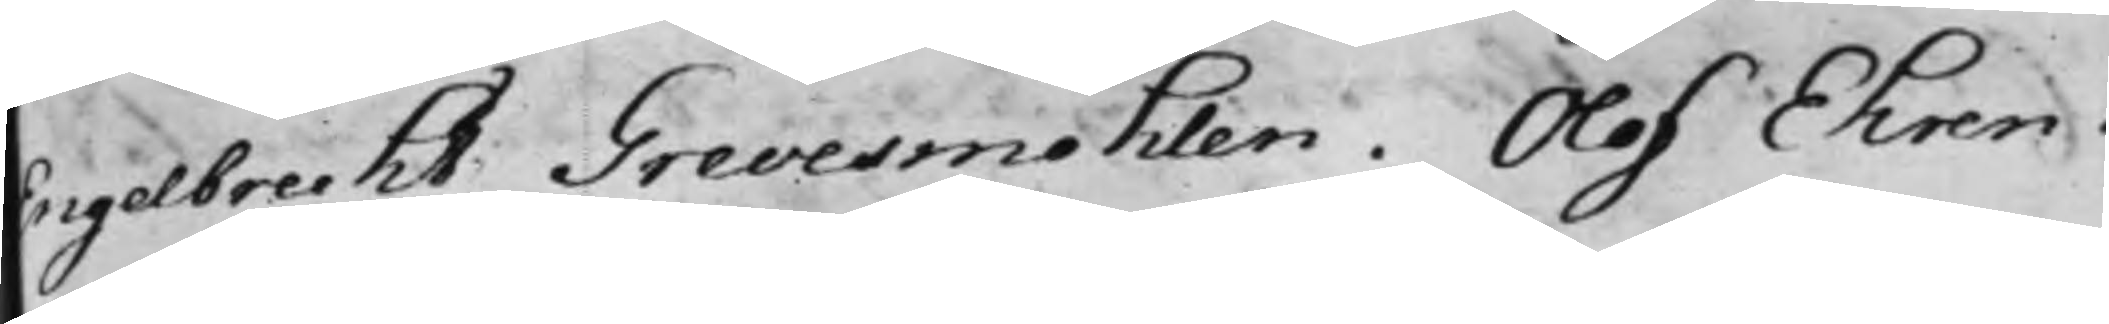Engelbrecht Grevesmöhlen. Olof Ehren¬
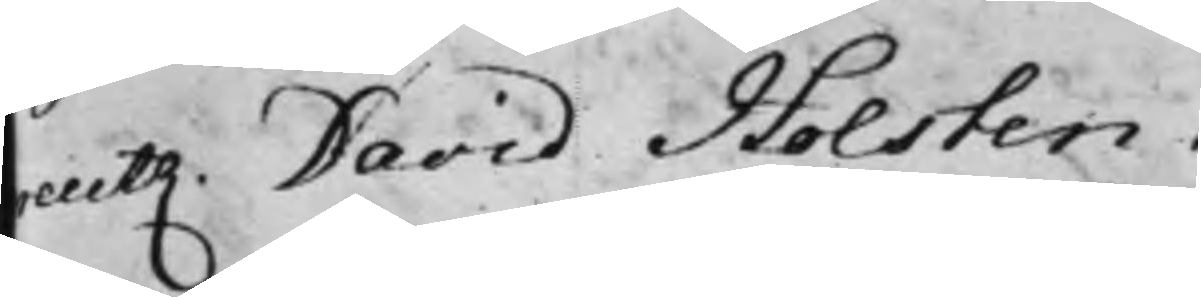creutz. David Holsten. 
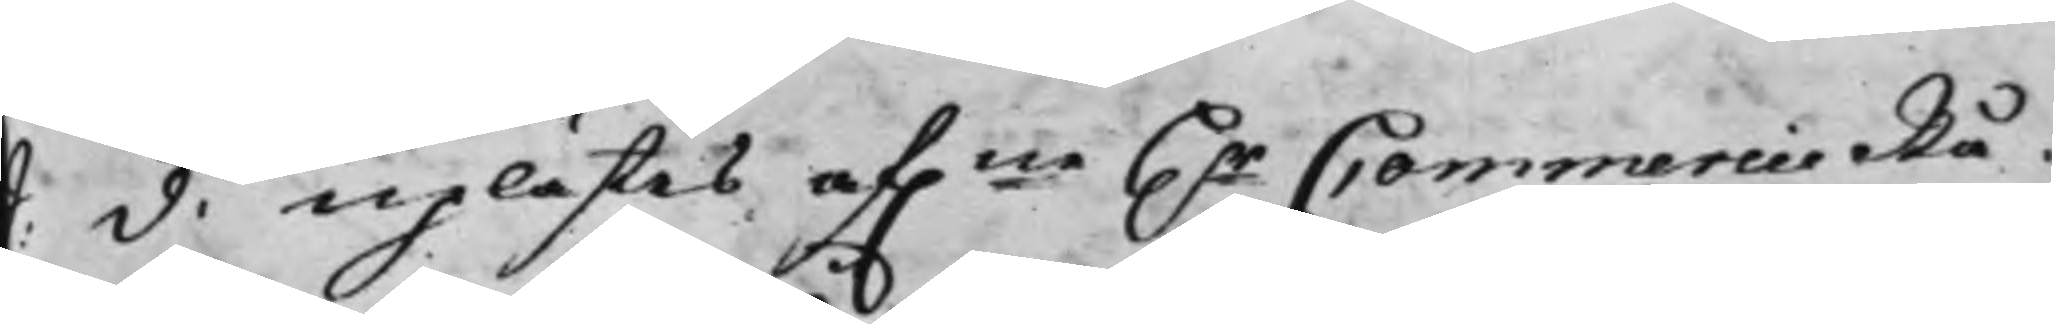S. d. uplästes af.ne H.r CommercieRå¬
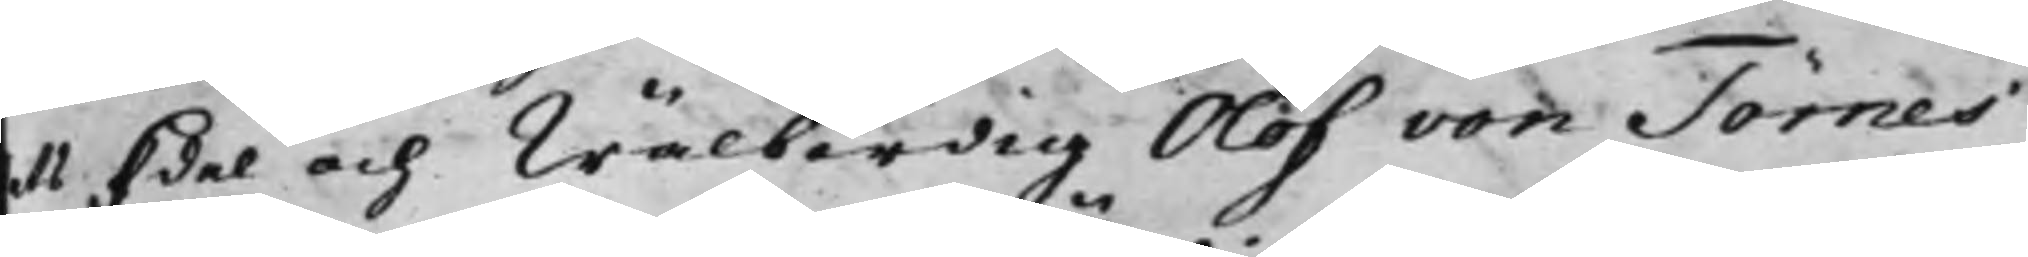dets Edel och Wälbördig Olof von Törnes
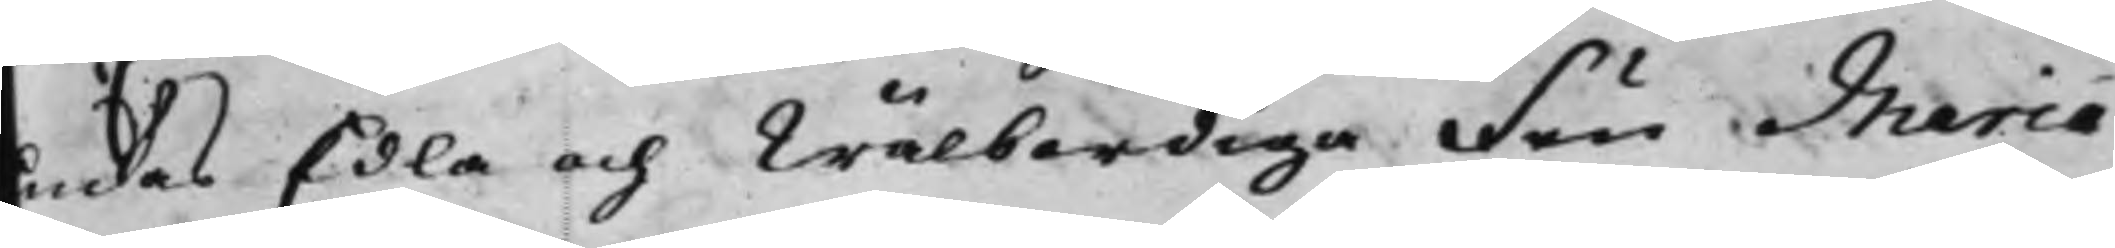Enkas Edla och Wälbördiga Fru Maria
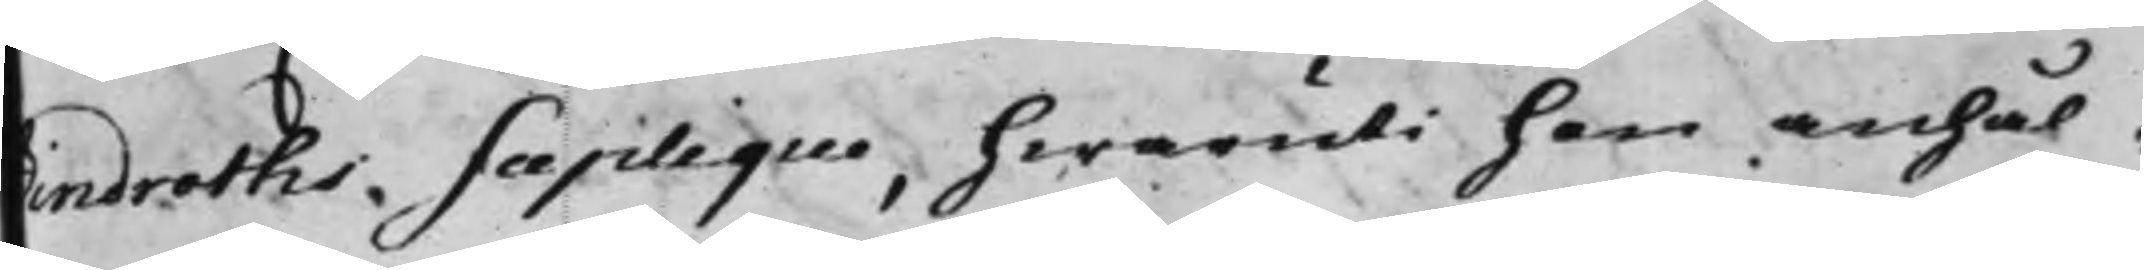Lindroths Suplique, hwaruti hon anhål¬
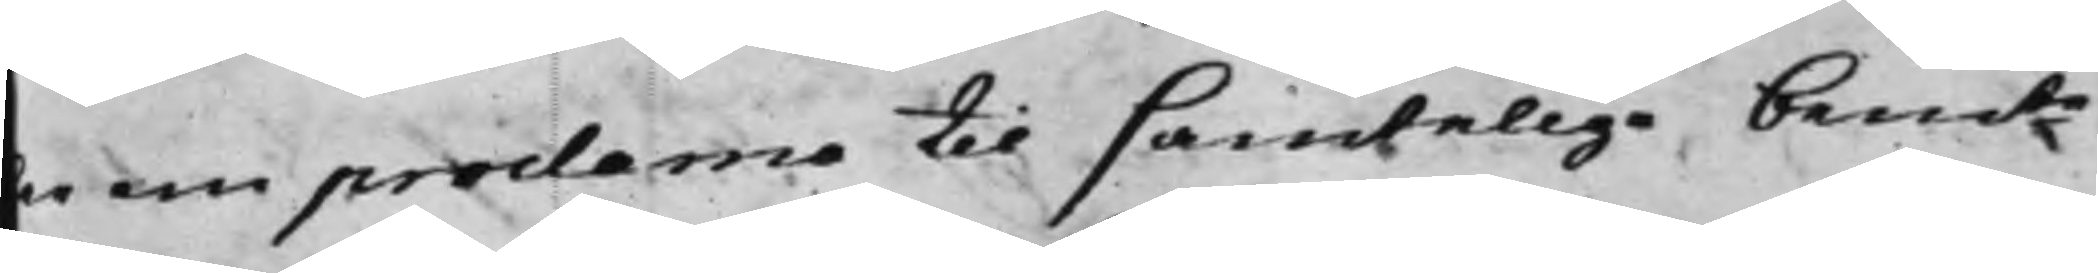ler om proclama til samtelige bemte
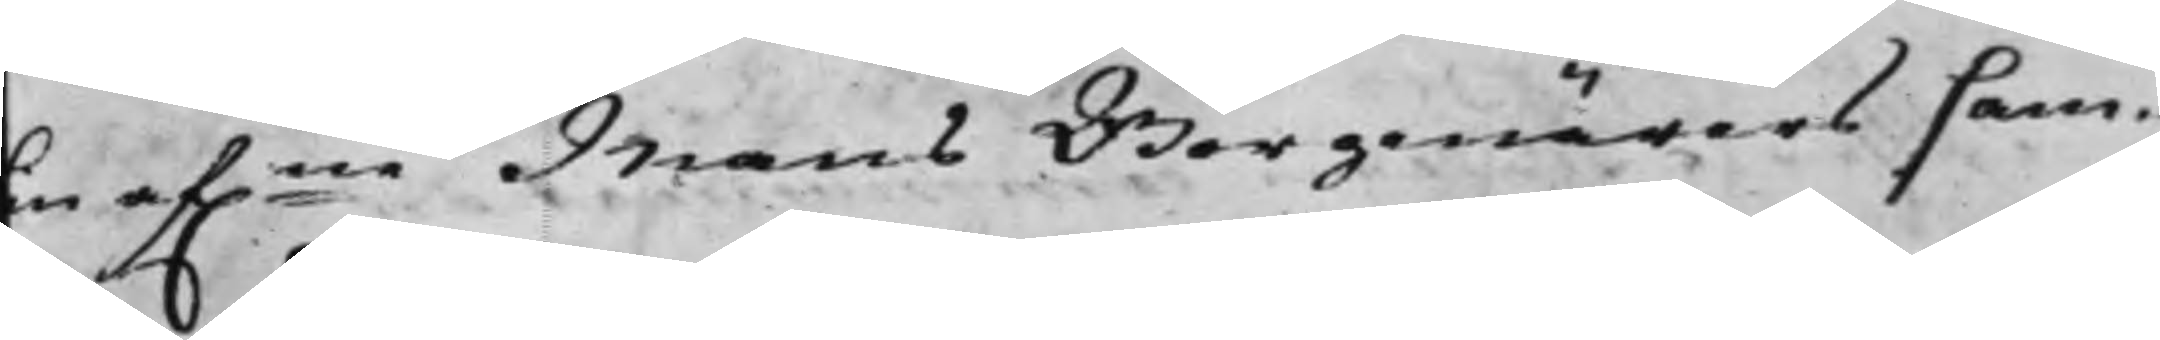sin af.ne Mans Borgenärers sam¬
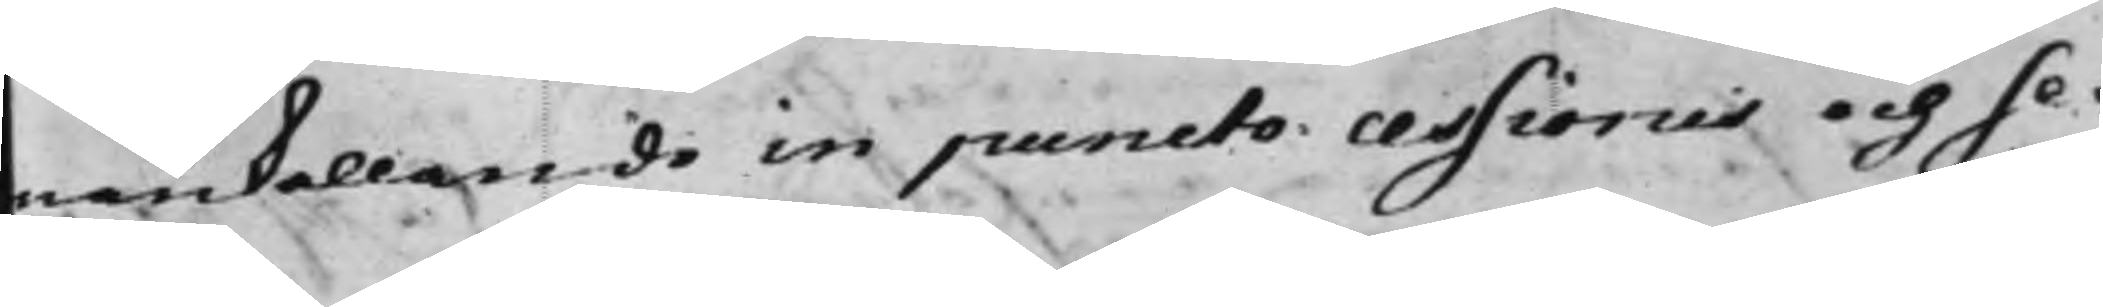mankallande in puncto cessionis och se¬
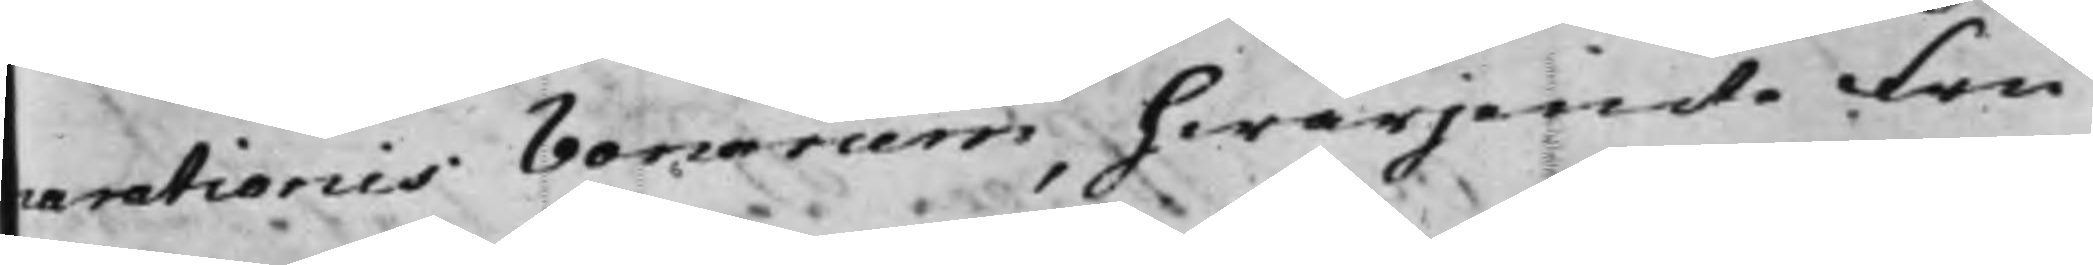nerationis Bonarum, hwarjemte Fru
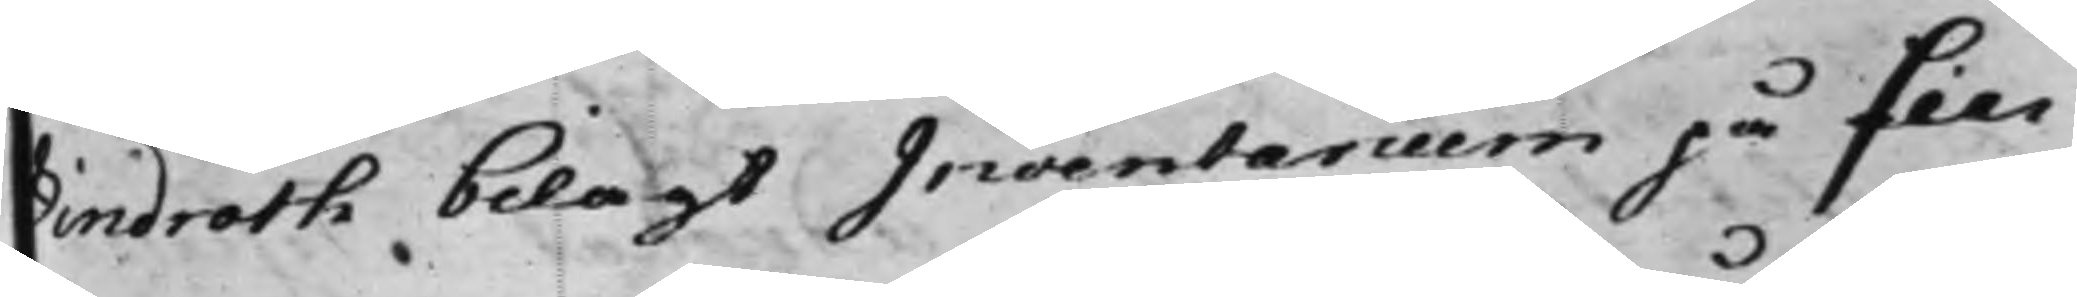Lindroth bilagt Inventarium på sin
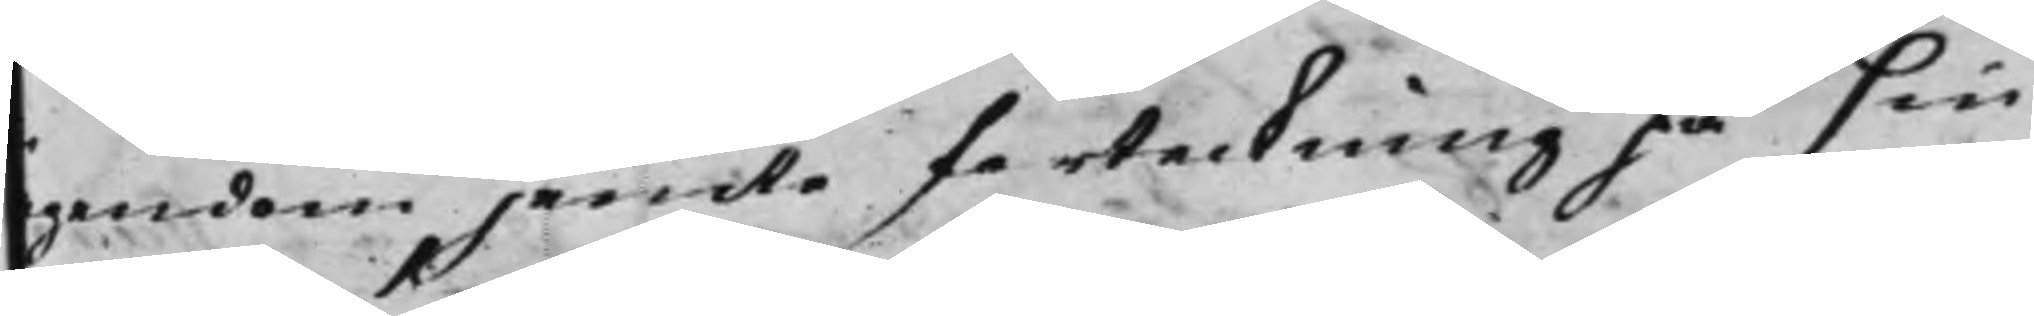ägendom jemte förteckning på sin
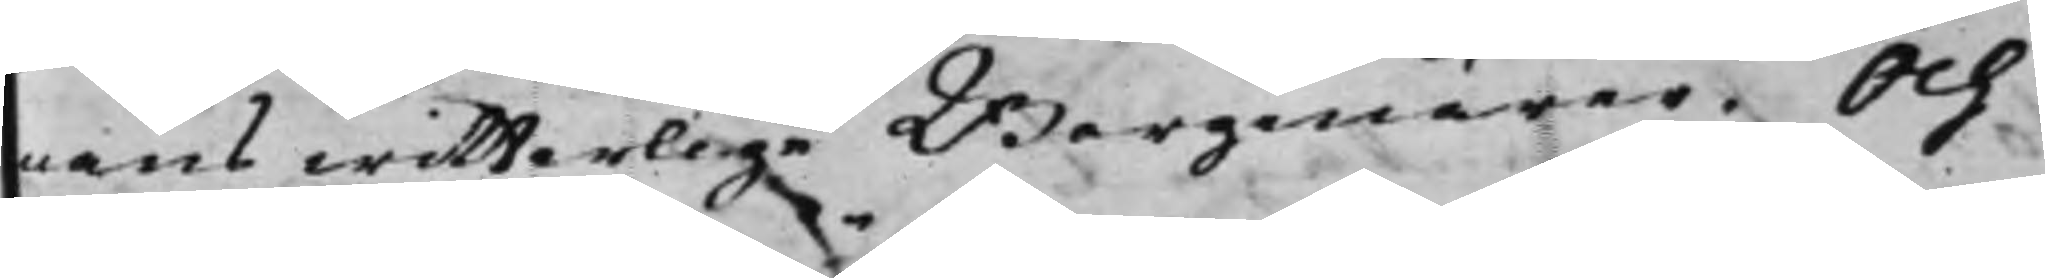mans witterlige Borgenärer. Och
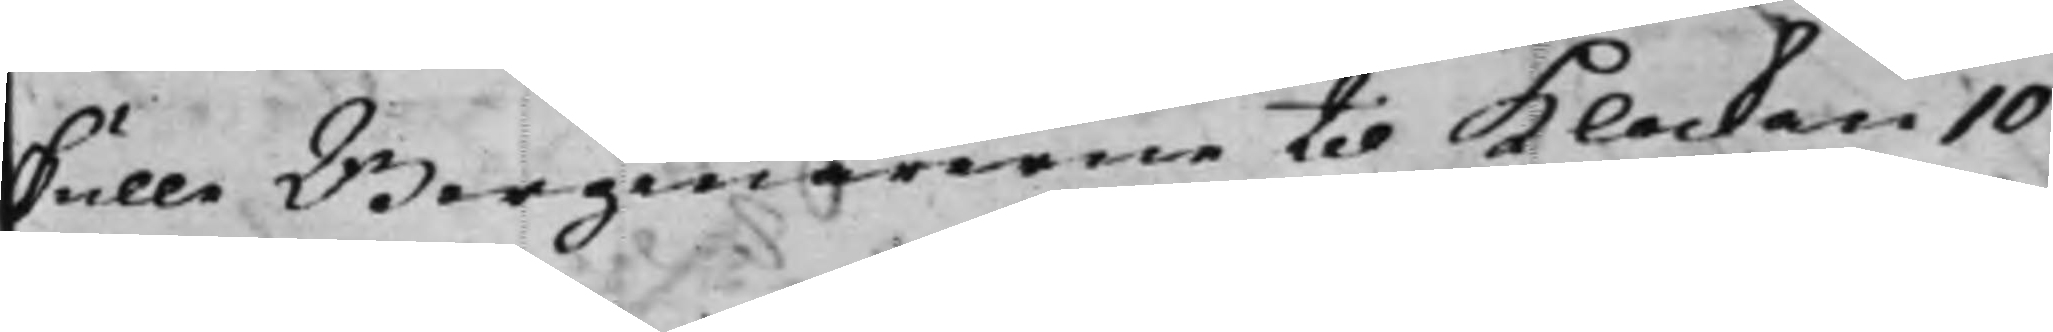skulle Borgenärerne til Klockan 10
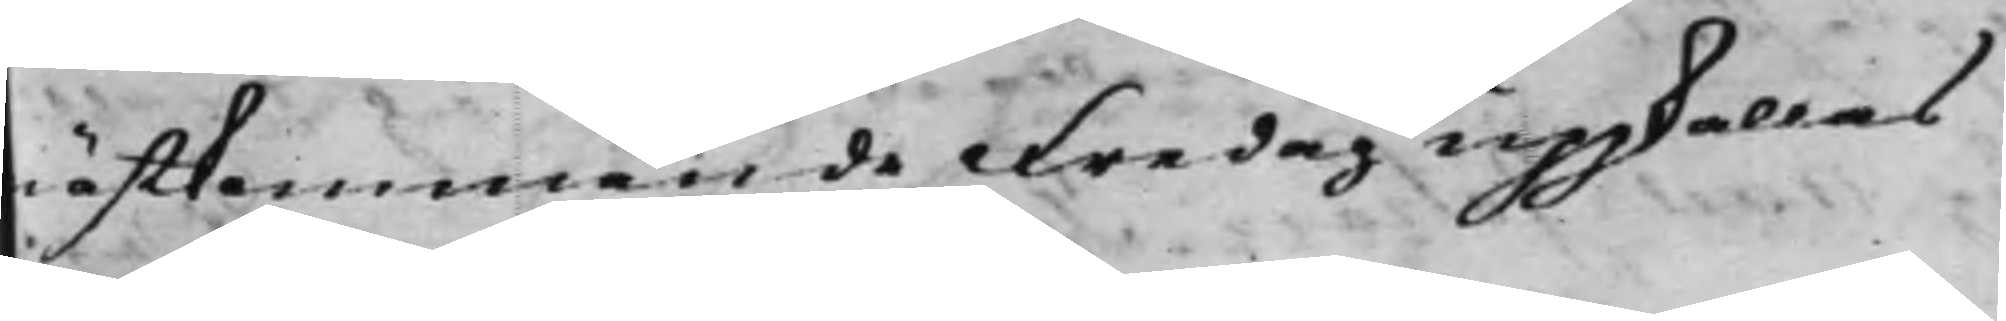nästkommande Fredag uppkallas
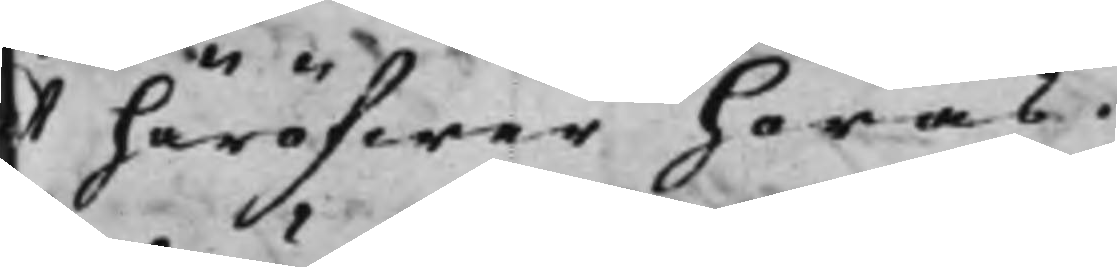at häröfwer höras.
